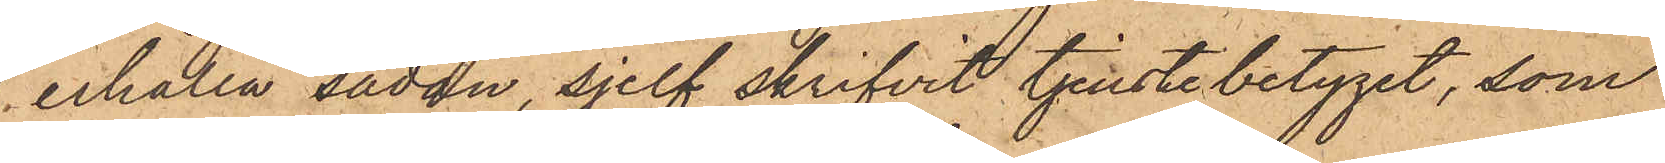erhålla sådan, sjelf skrifvit tjenstebetyget, som
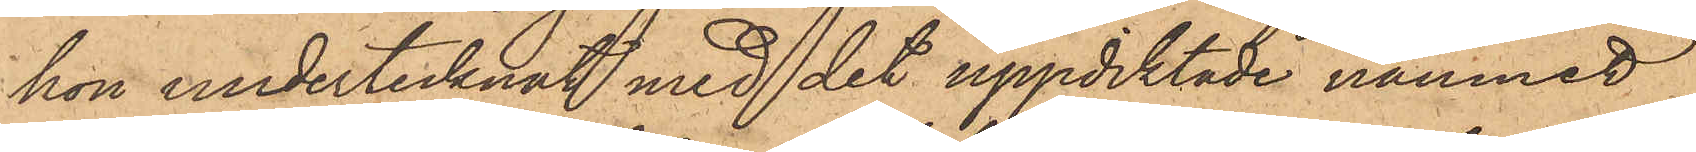hon undertecknat med det uppdiktade namnet
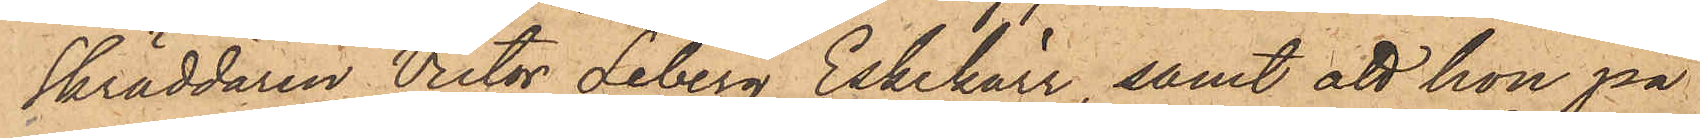Skräddaren Victor Leberg Eskekärr samt att hon på
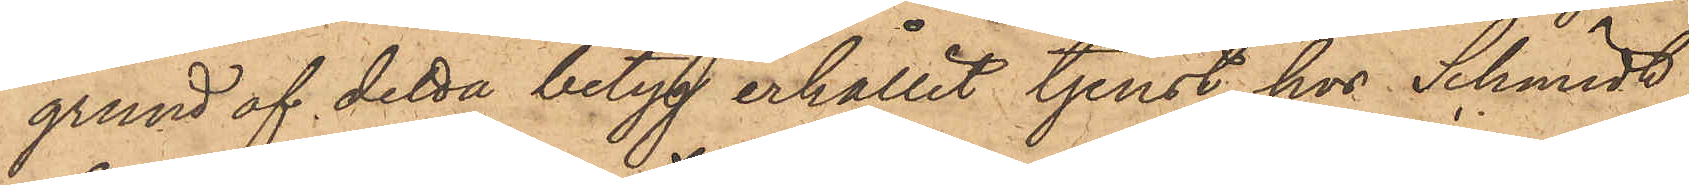grund af detta betyg erhållit tjenst hos Schmidt,
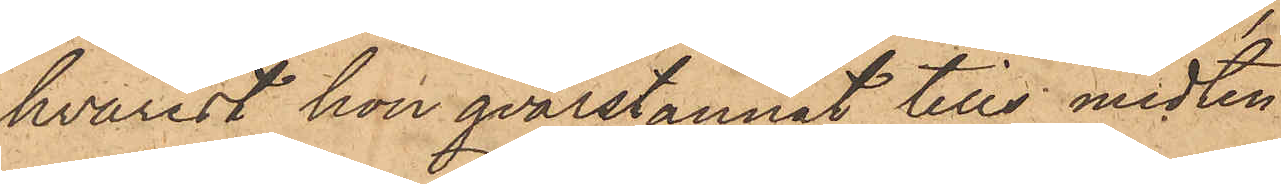hvarest hon qvarstannat tills midten
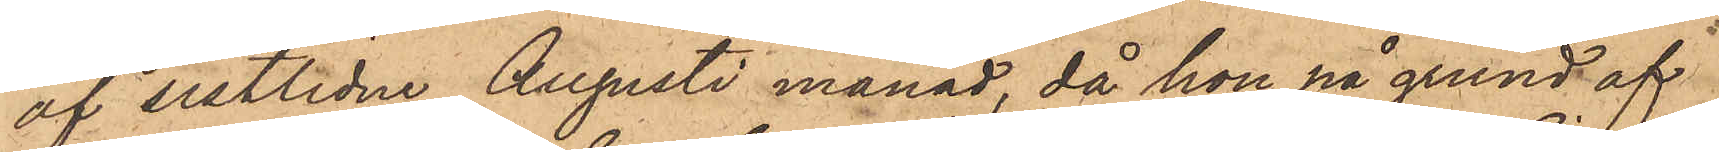af sistlidne Augusti månad, då hon på grund af
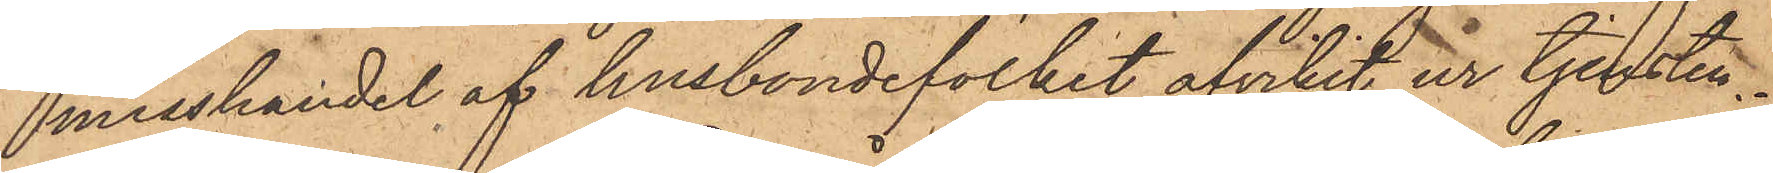misshandel af husbondefolket afvikit ur tjensten.
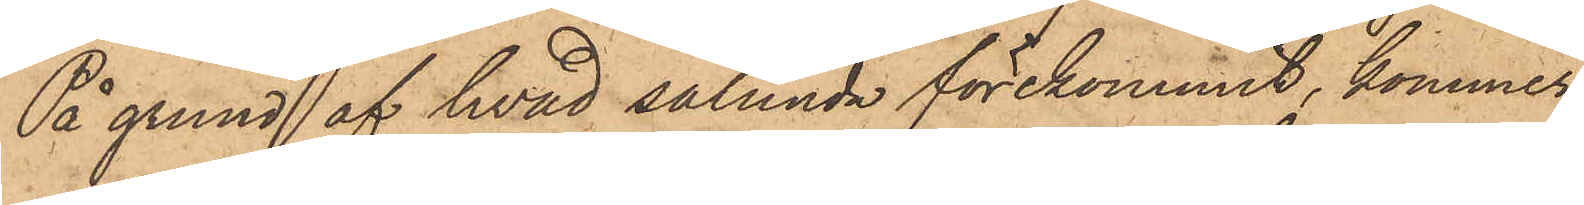På grund af hvad sålunda förekommit, kommer
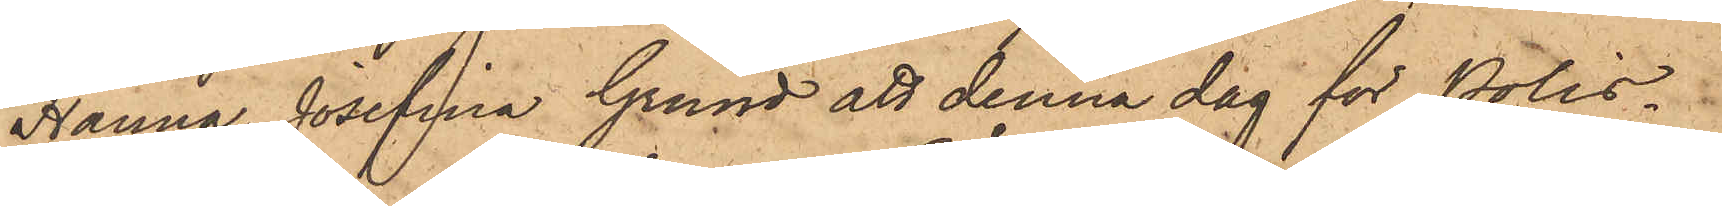Hanna Josefina Grund att denna dag för Polis¬
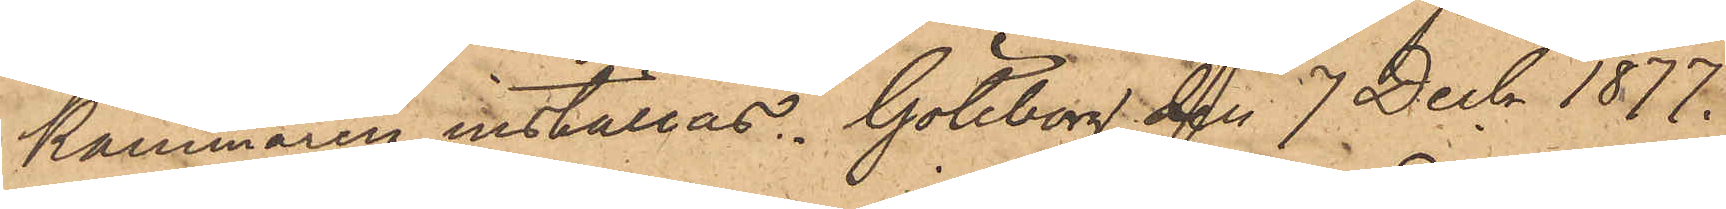kammaren inställas. Göteborg den 7 Decb. 1877.
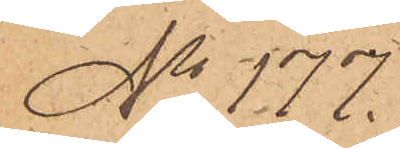No 177.
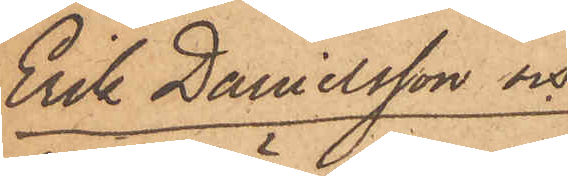Erik Danielsson och
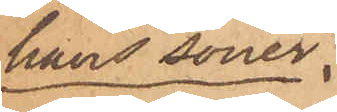hans söner.
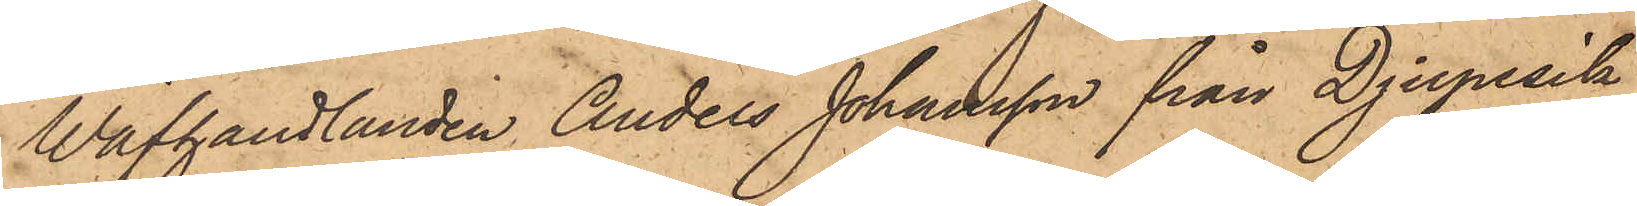Wäfhandlanden Anders Johansson från Djupesik
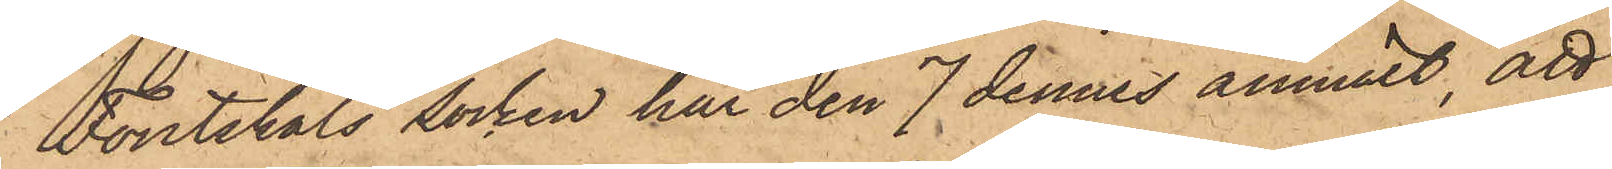i Foutskäls Socken har den 7 dennes anmält, att
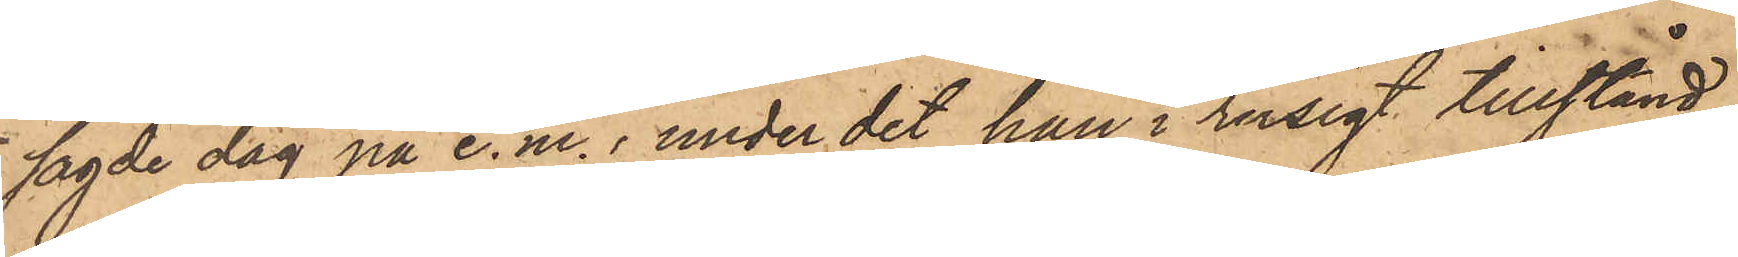sagde dag på e. m., under det han i rusigt tillstånd
